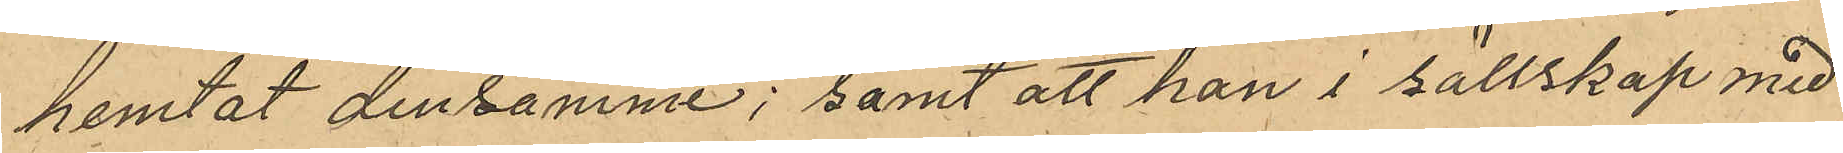hemtat densamme; samt att han i sällskap med
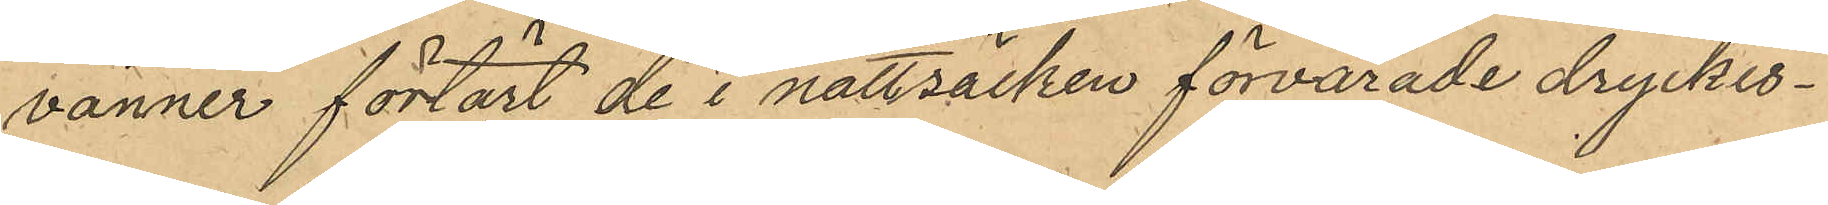vänner förtärt de i nattsäcken förvarade dryckes¬
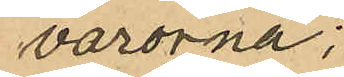varorna;
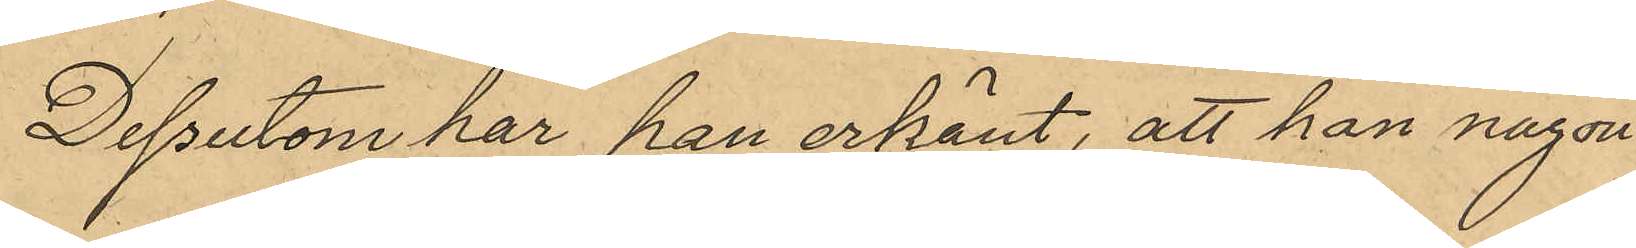Dessutom har han erkänt, att han någon
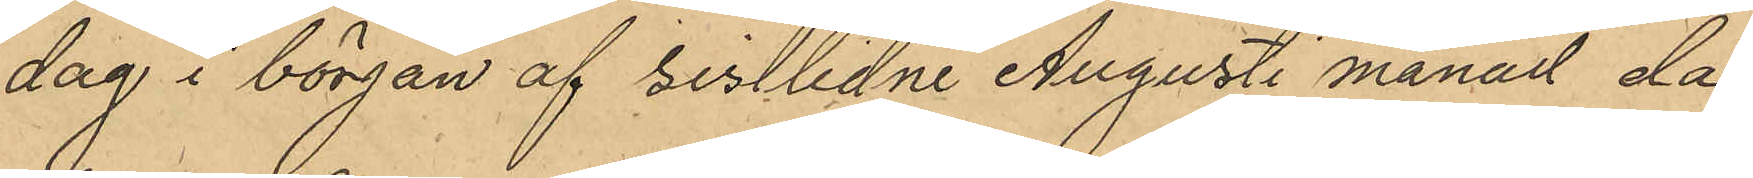dag i början af sistlidne Augusti månad då
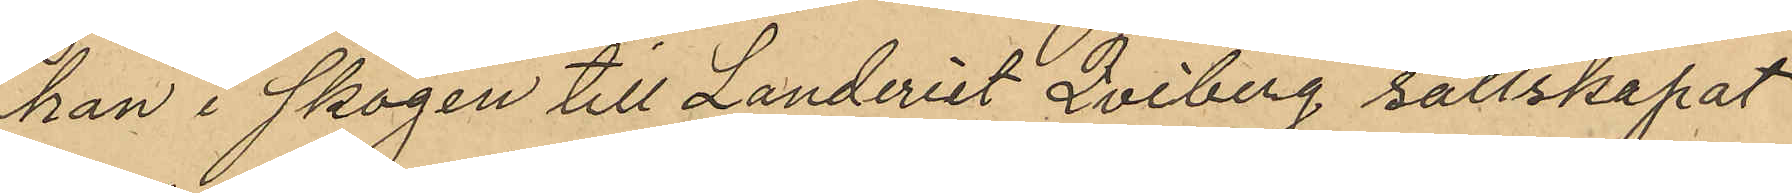han i skogen till Landeriet Qviberg sällskapat
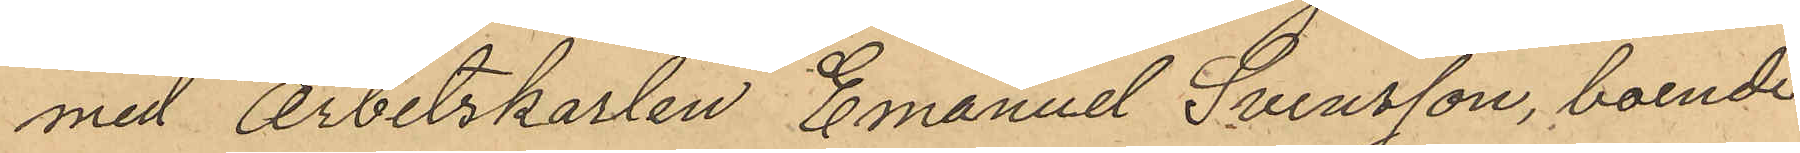med Arbetskarlen Emanuel Svensson, boende
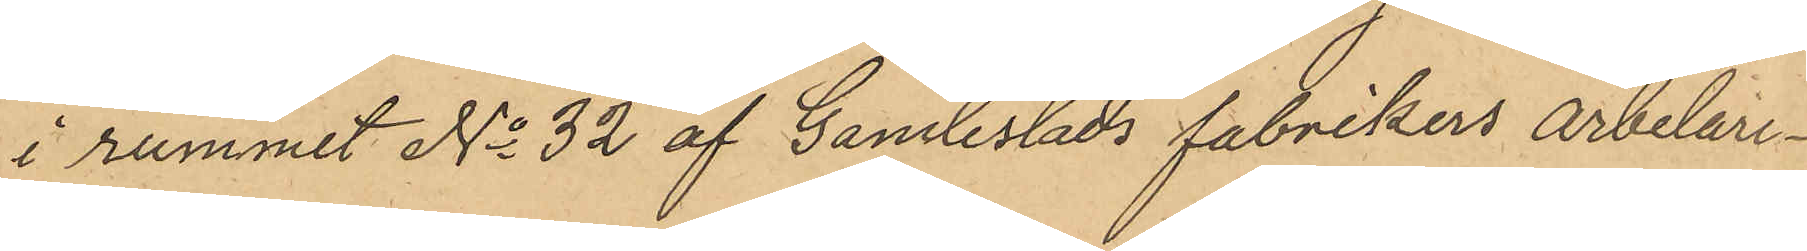i rummet No 32 af Gamlestads fabrikers arbetare¬
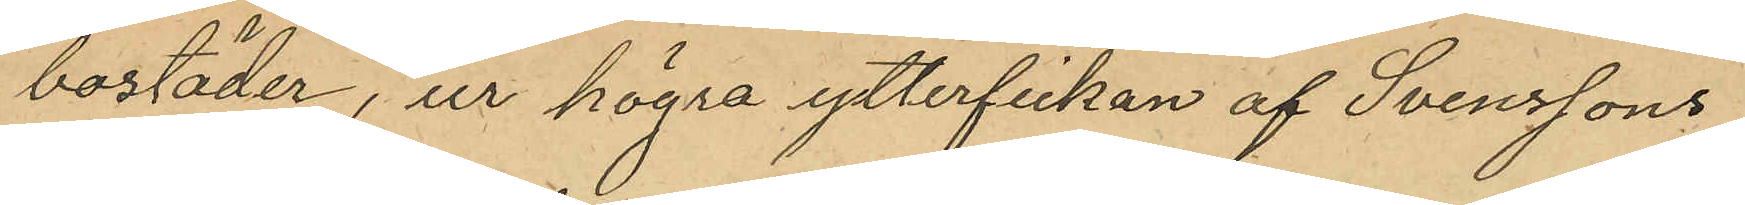bostäder, ur högra ytterfickan af Svenssons
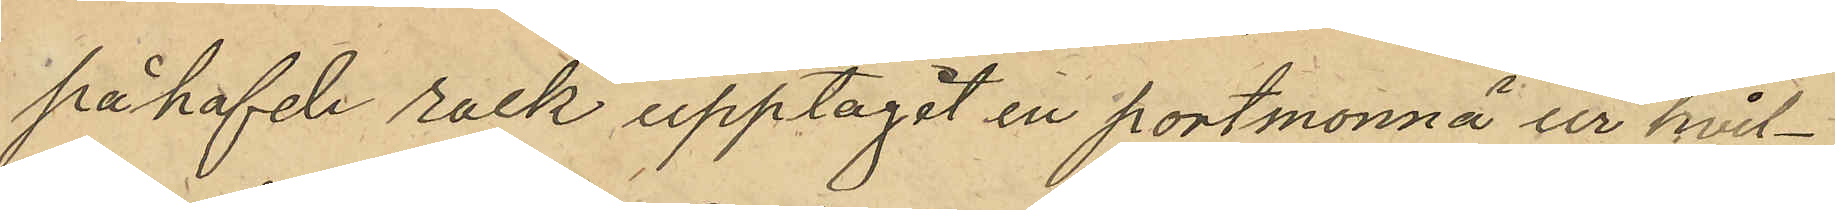påhafvde rock upptagit en portmonnä ur hvil¬
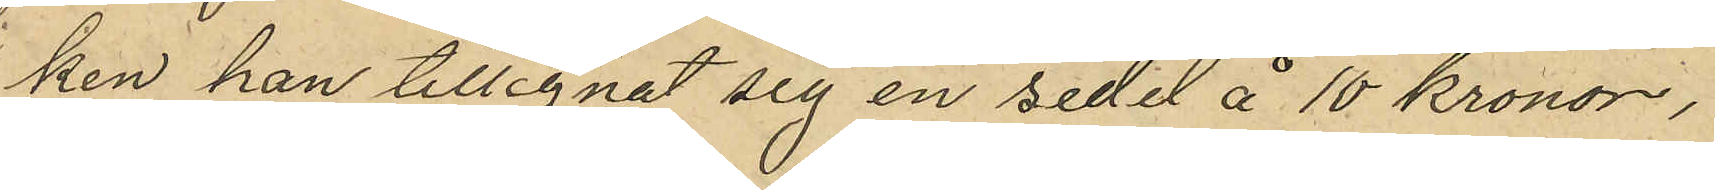ken han tillegnat sig en sedel å 10 kronor,
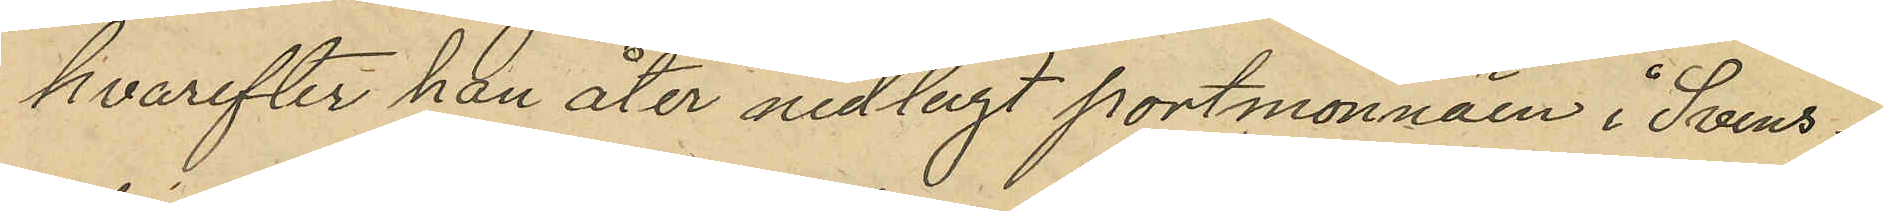hvarefter han åter nedlagt portmonnäen i Svens¬
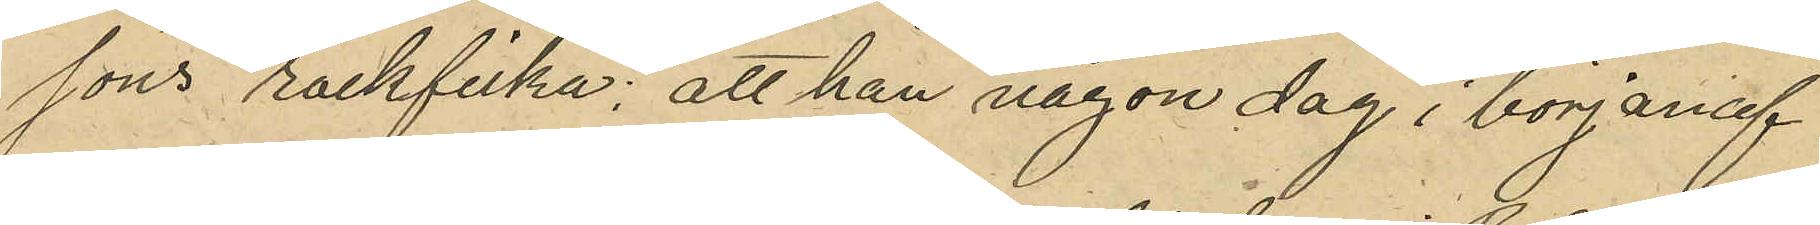sons rockficka; att han någon dag i början af
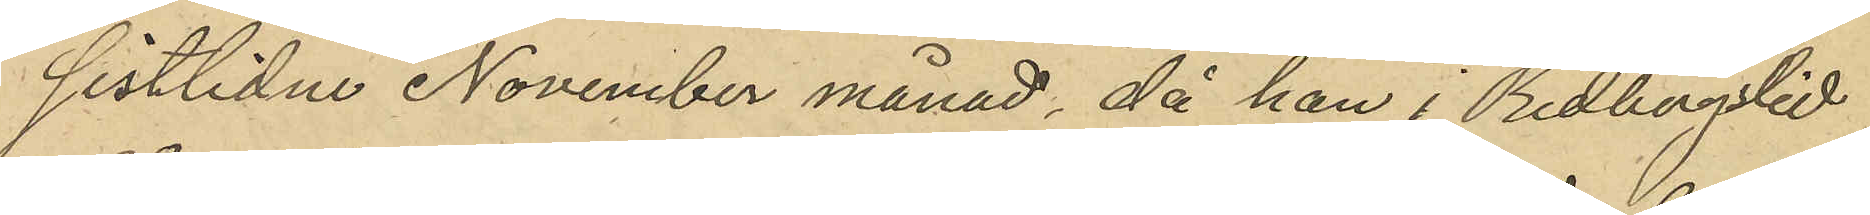sistlidne November månad, då han i Redbergslid
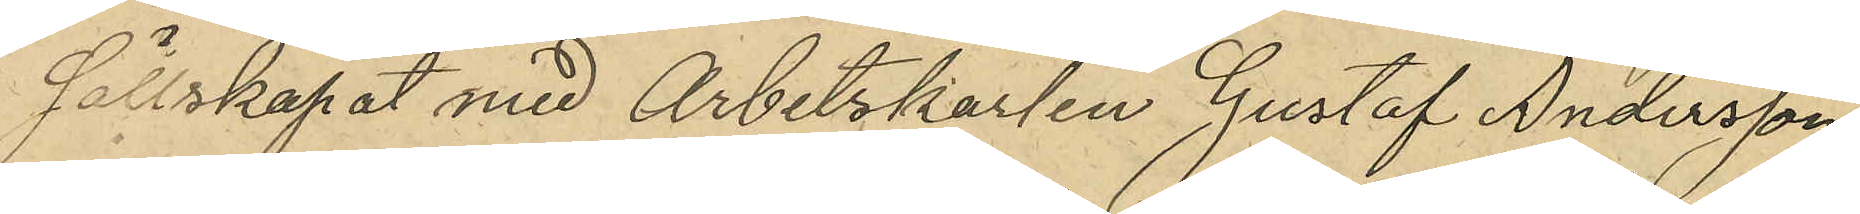sällskapat med Arbetskarlen Gustaf Andersson
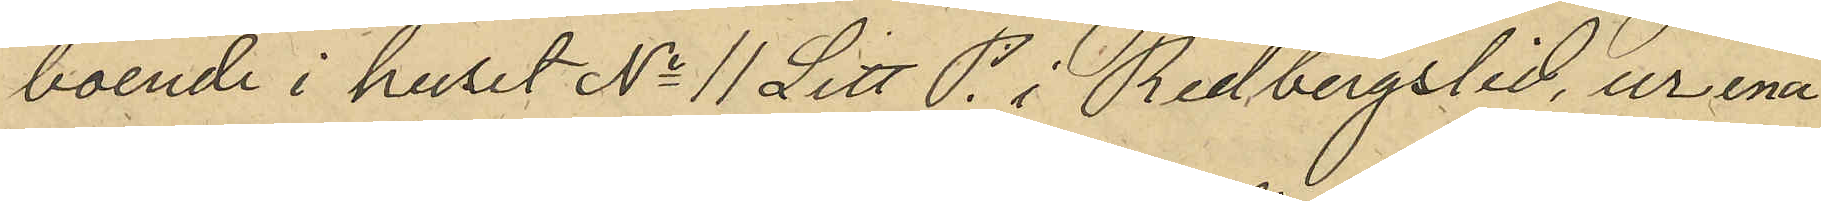boende i huset No 11 Litt. P. i Redbergslid, ur ena
